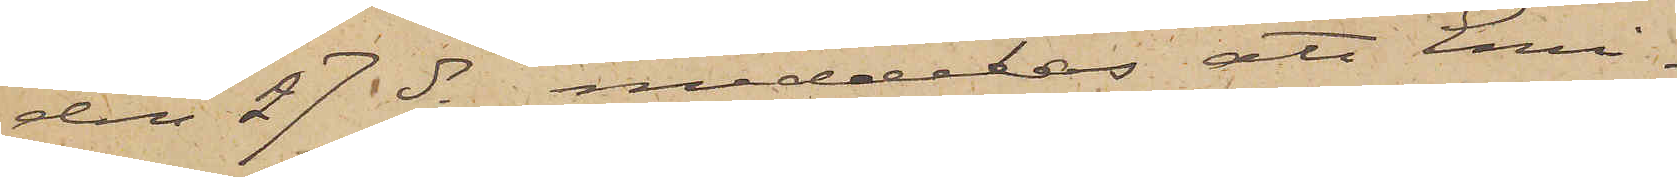den 27 ds, meddelas att Emi¬
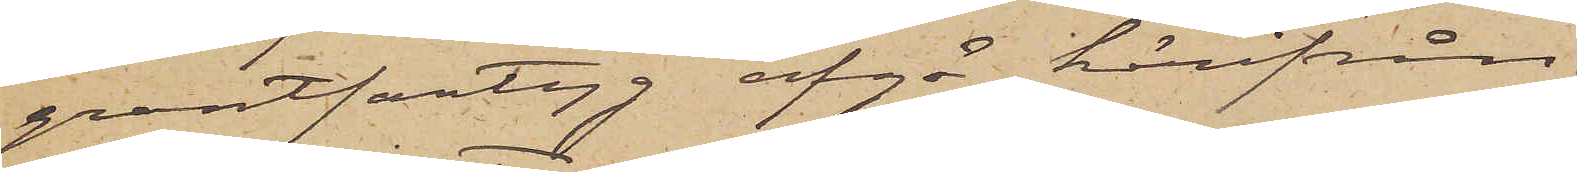grantfartyg afgå härifrån
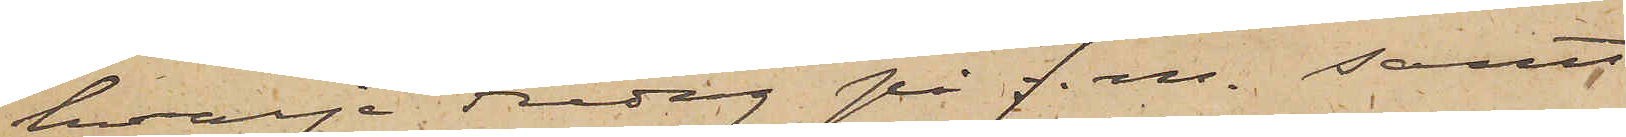hvarje Fredag på f. m. samt
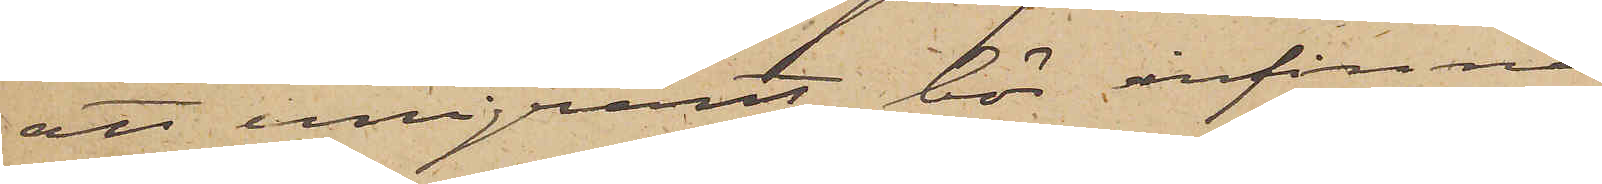att emigrant bör infinna
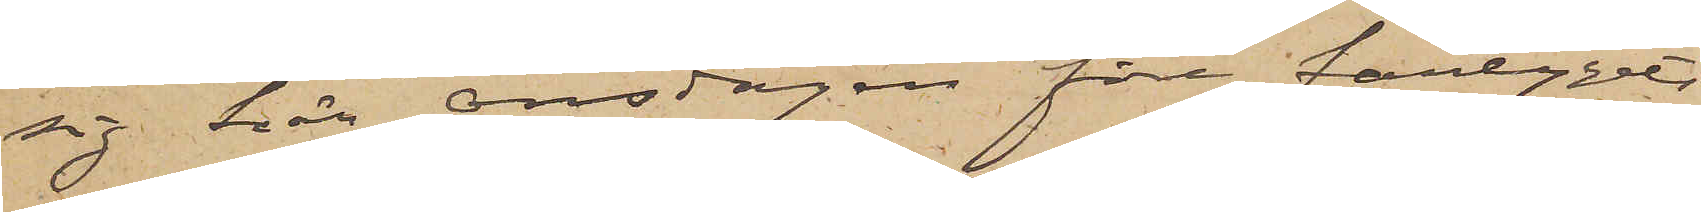sig här onsdagen före fartygets
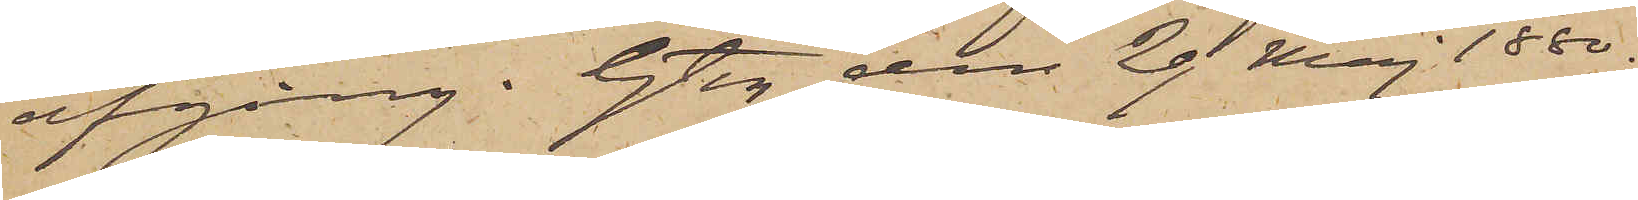afgång. Gtbg den 29 Maj 1880.
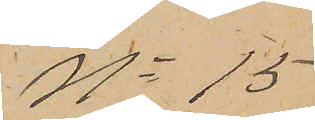No 15
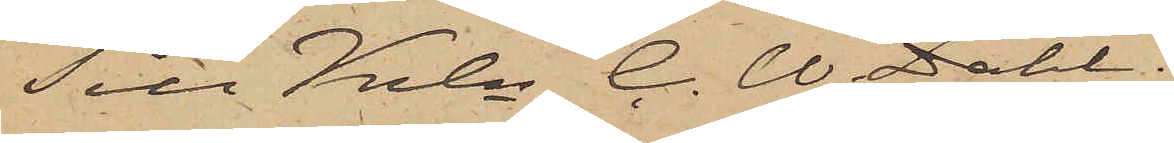Till Krln C. W. Dahl.
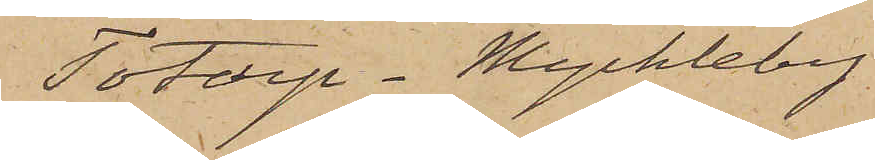Totorp Myckleby
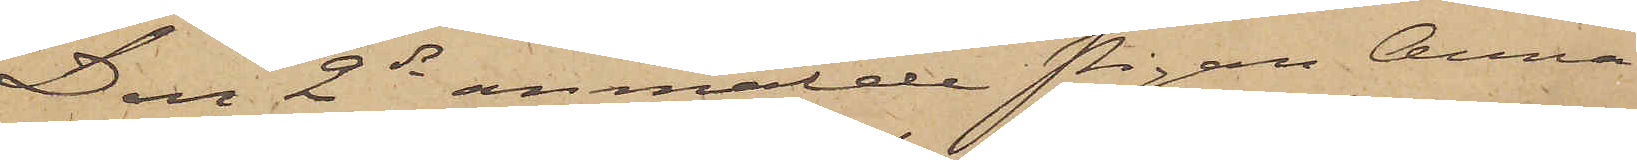Den 2 ds anmälde Pigan Anna
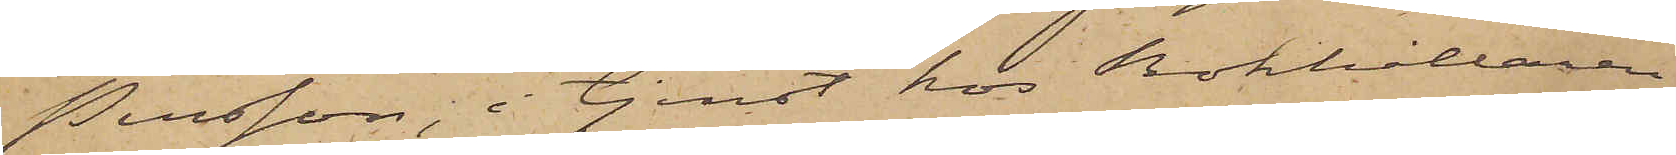Persson, i tjenst hos Bokhållaren
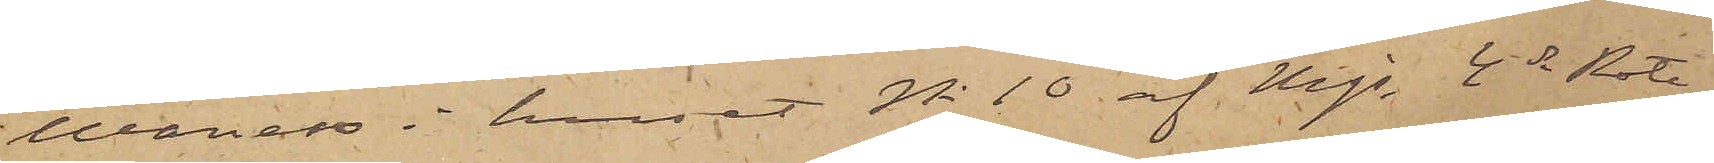Wanaes i huset No 10 af Mjs 4de Rote,
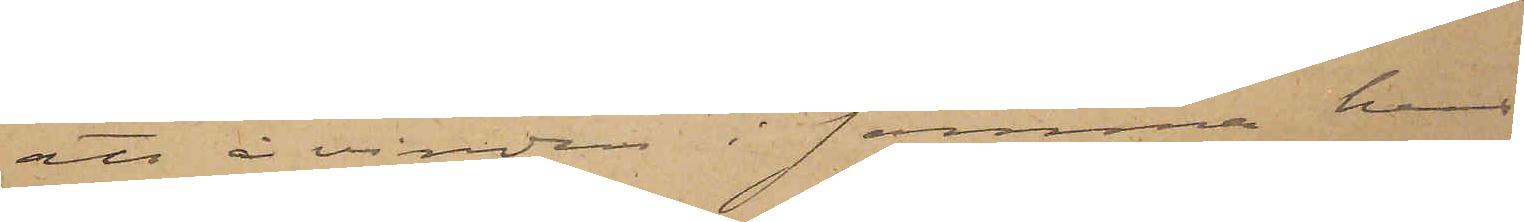att å vinden i samma hus
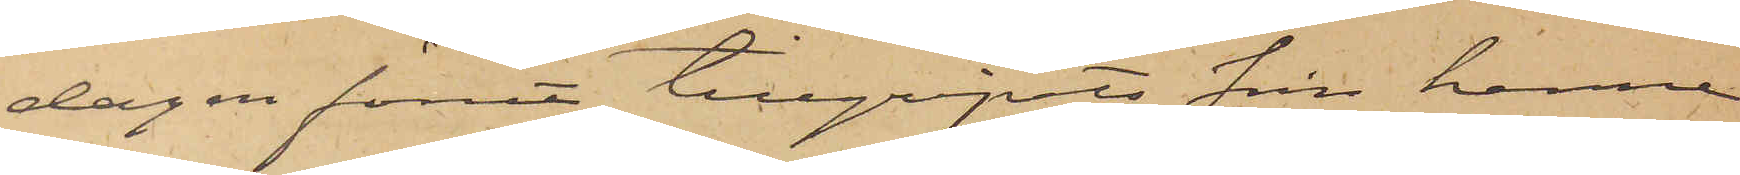dagen förut tillgripits från henne
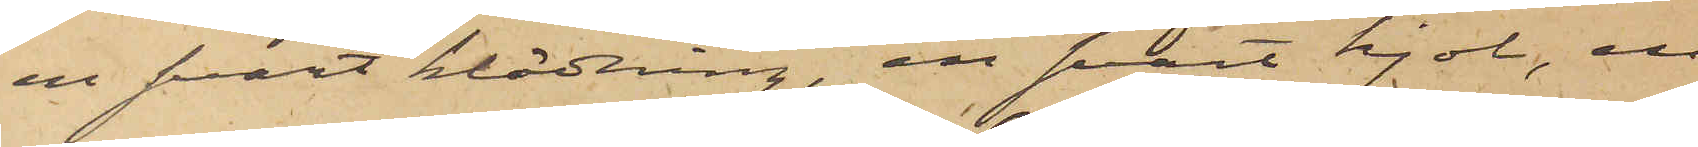en svart klädning, en svart kjol, en
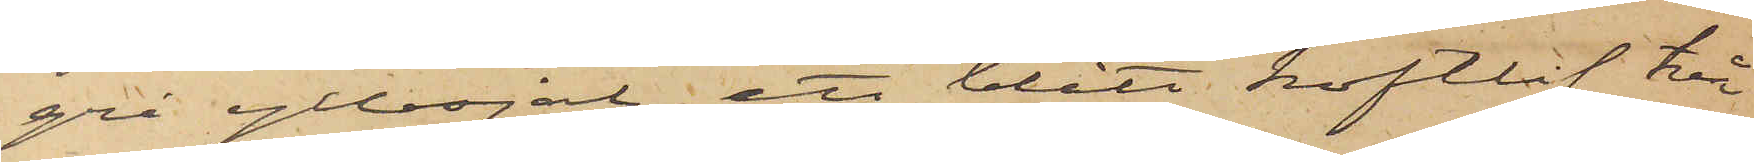grå yllesjal, ett blått koftlif, två
